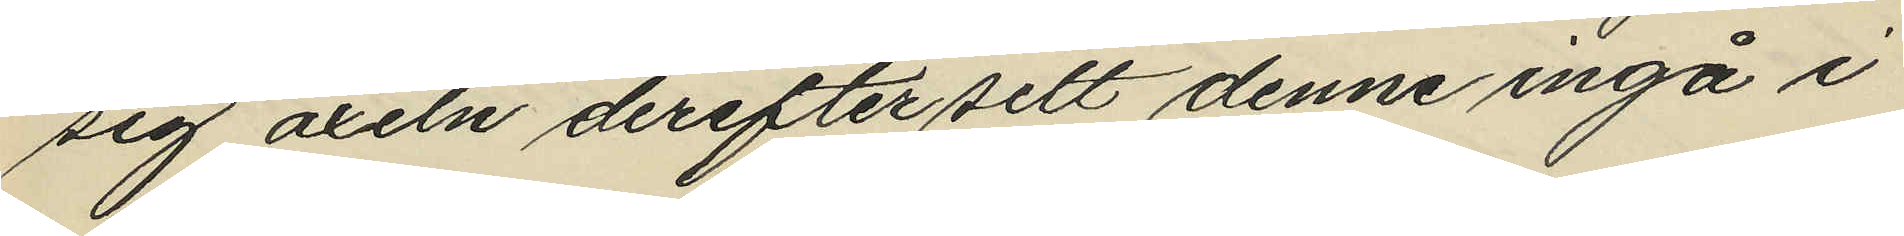sig axeln derefter sett denne ingå i
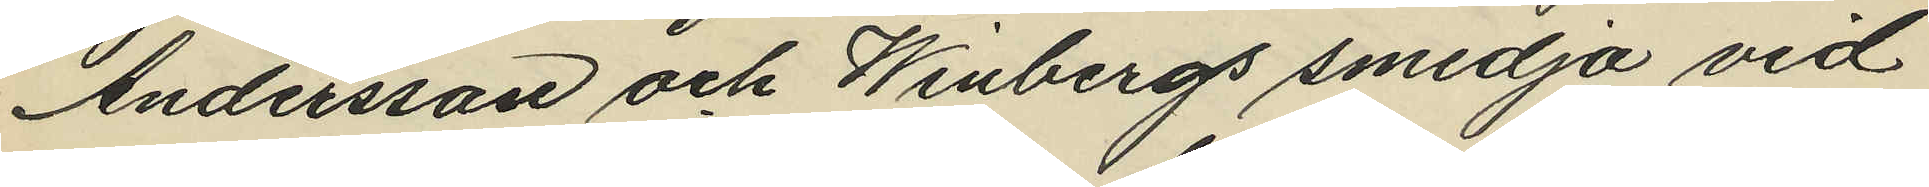Andersson och Winbergs smedja vid
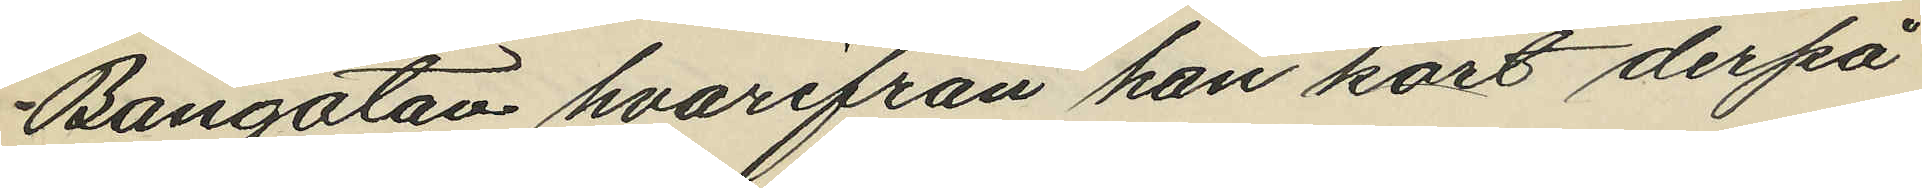Bangatan hvarifrån han kort derpå
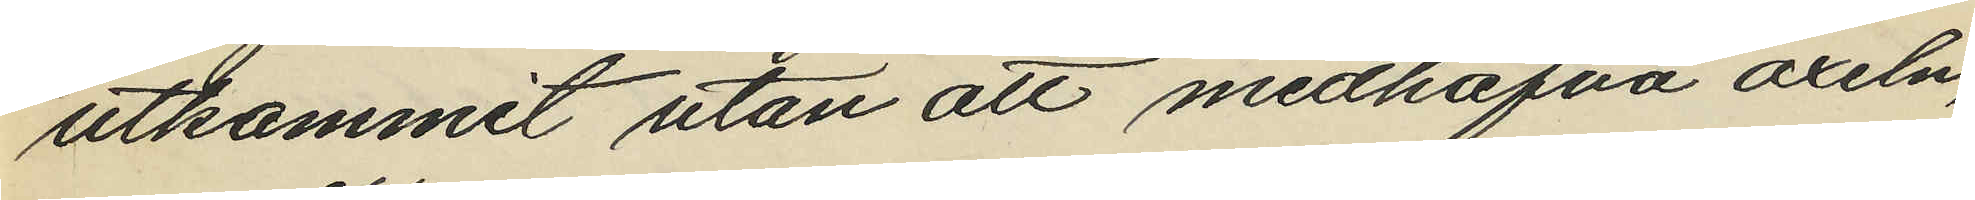utkommit utan att medhafva axeln,
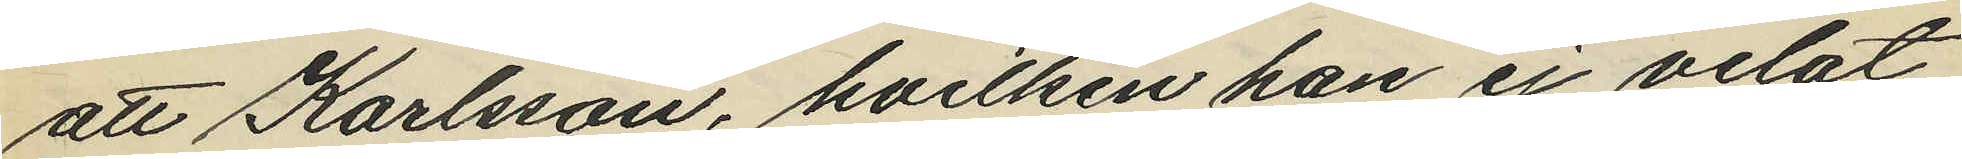att Karlsson, hvilken han ej velat
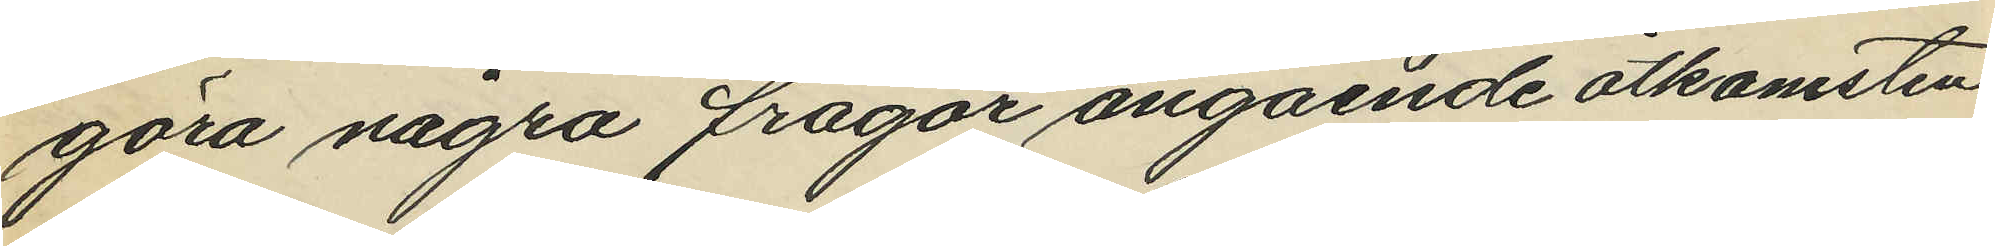göra några frågar angående åtkomsten
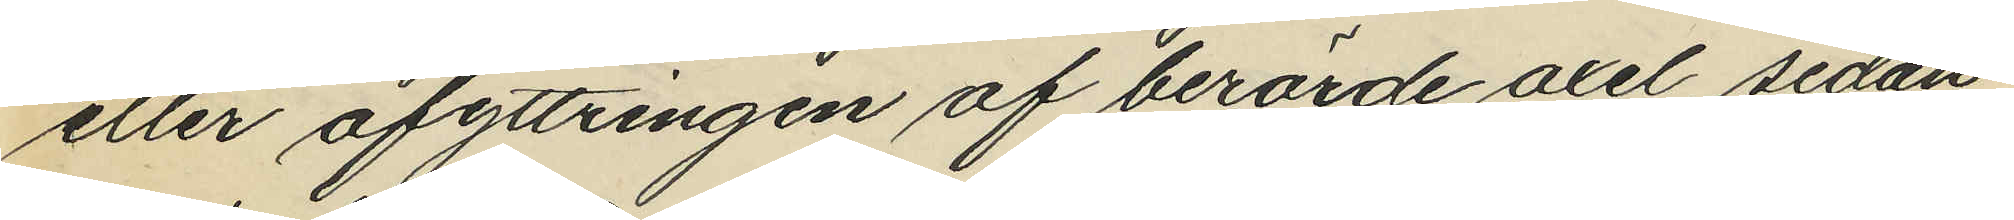eller afyttringen af berörde axel, sedan
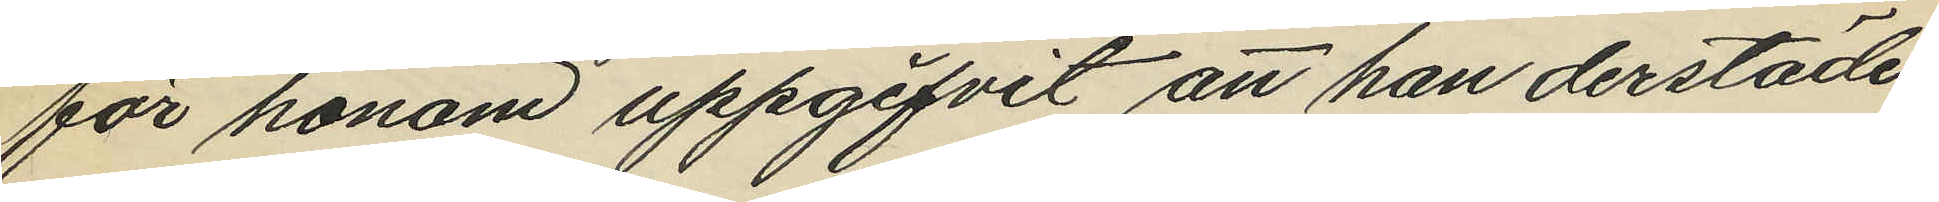för honom uppgifvit att han derstädes
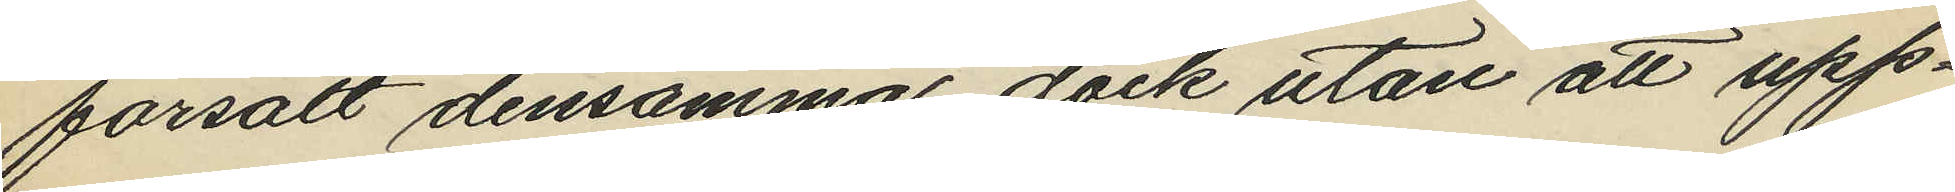försålt densamma, dock utan att upp¬
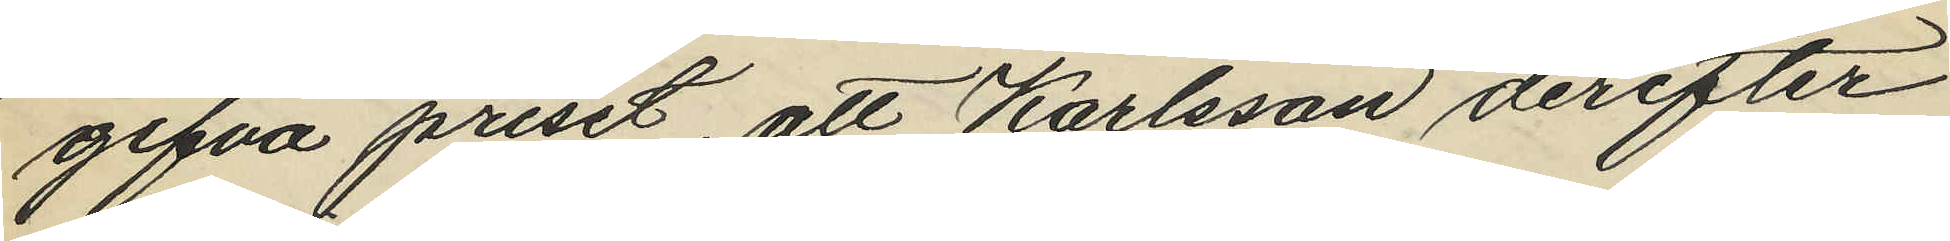gifva priset, att Karlsson derefter
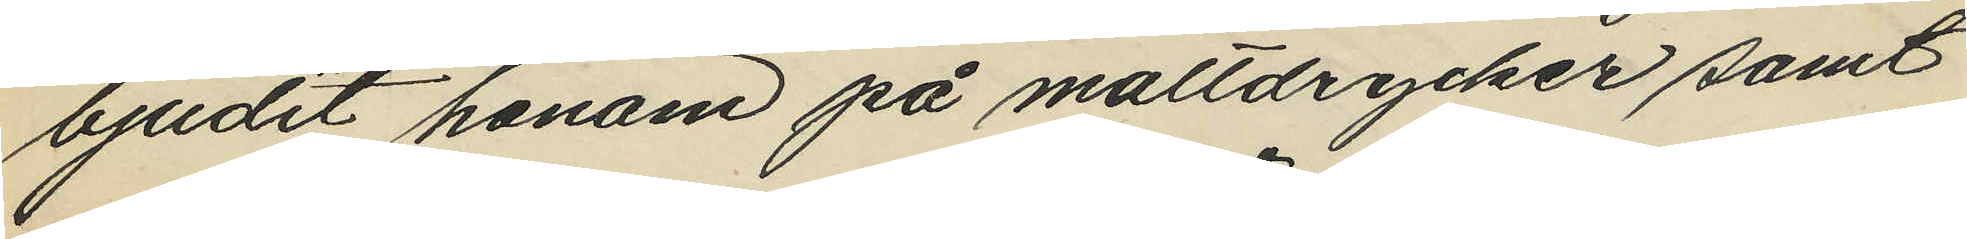bjudit honom på maltdrycker samt
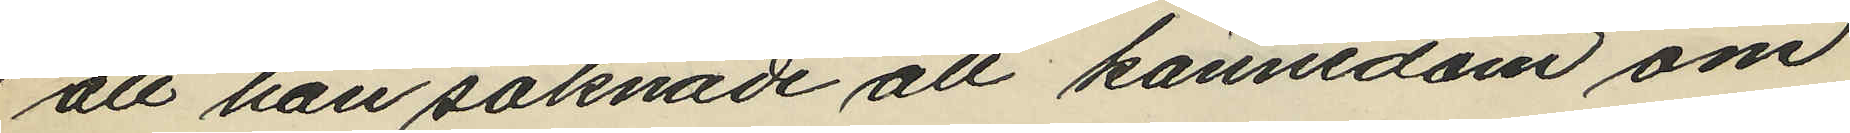att han saknade all kännedom om
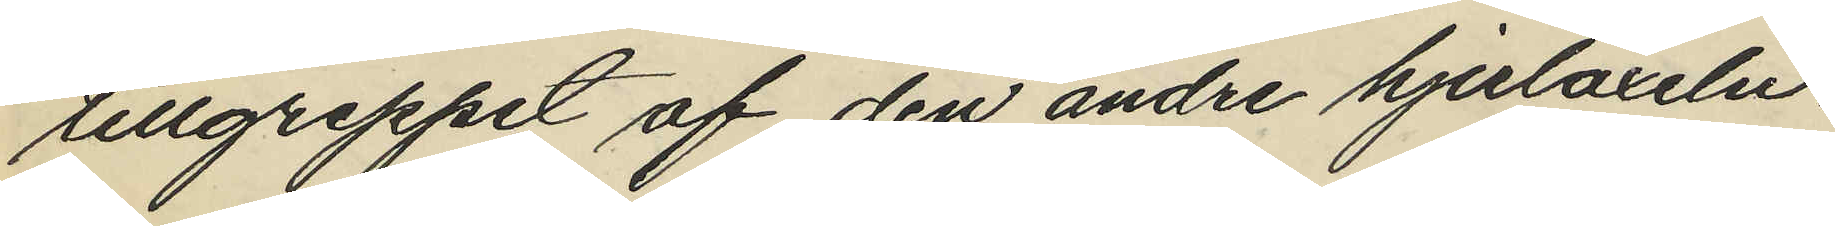tillgreppet af den andre hjulaxeln.
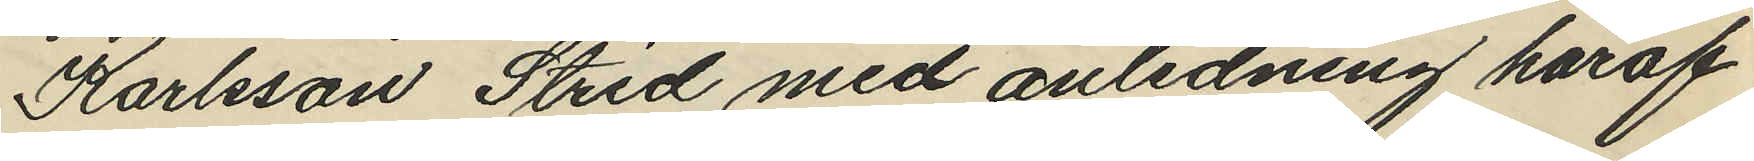Karlsson Strid med anledning häraf
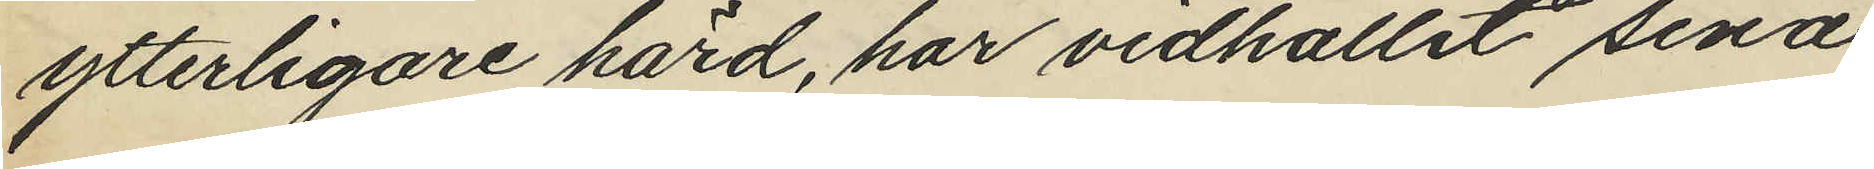ytterligare hörd, har vidhållit sina
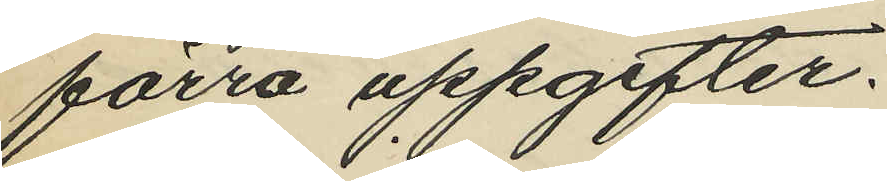förra uppgifter.
